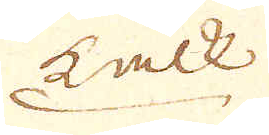Kalk
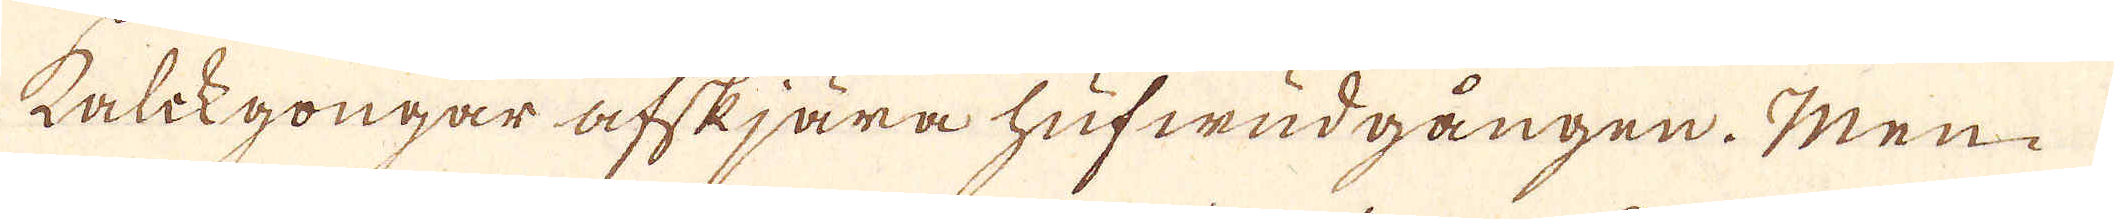Kalckgongar afskjära hufwudgången. Men
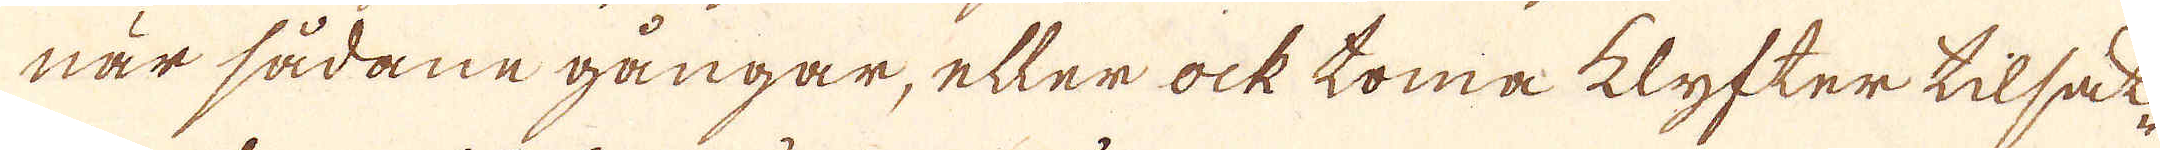när sådane gångar, eller ock toma klyfter tilsak-
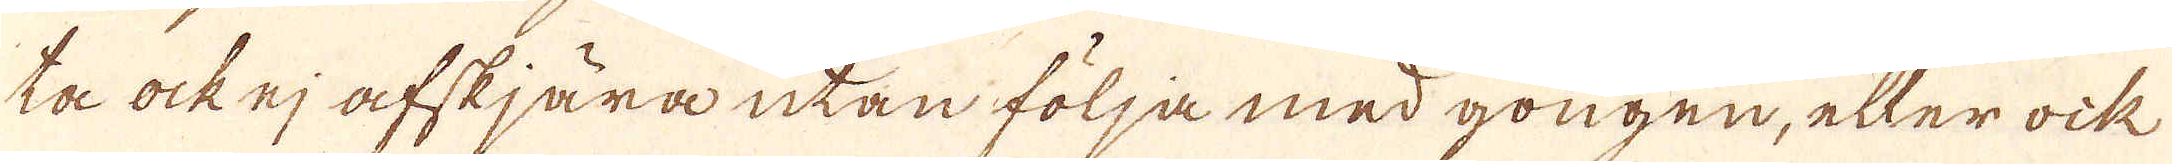ta ock ej afskjära utan följa med gongen, eller ock
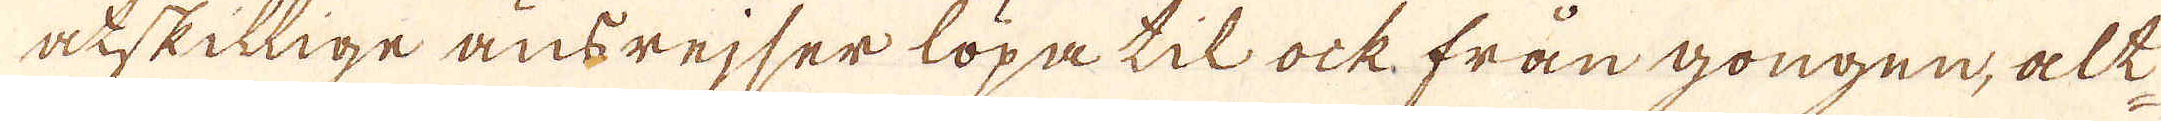åtskillige ansrejser löpa til ock från gongen, alt-
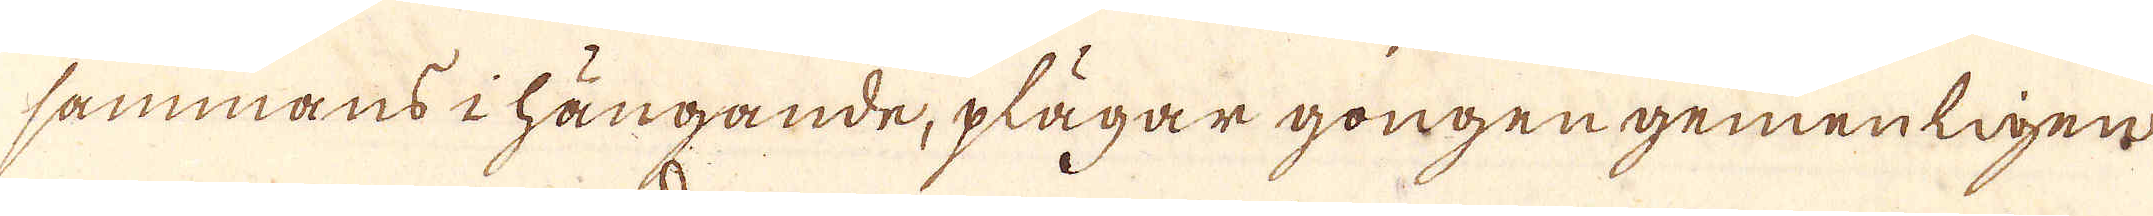sammans i hängande, plägar gongen gemenligen
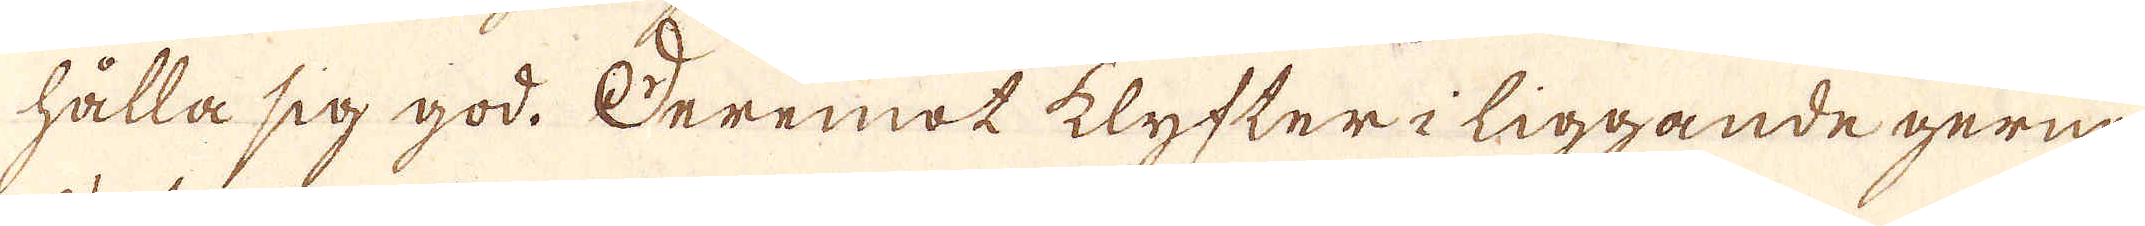hålla sig god. Deremot klyfter i liggande gerna
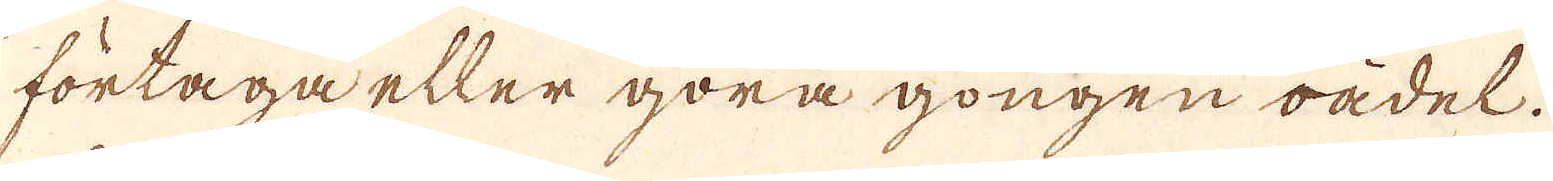förtaga eller göra gongen oädel.
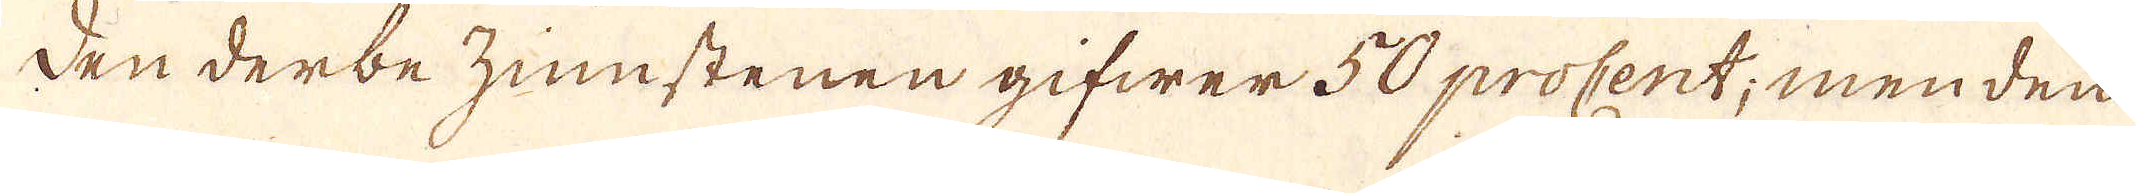Den derbezinnstenen gifwer 50 procent; men den
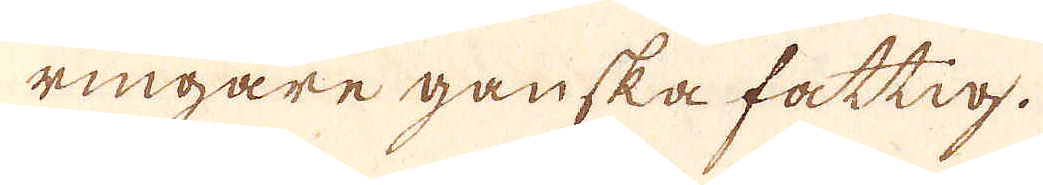ringare ganska fattig.
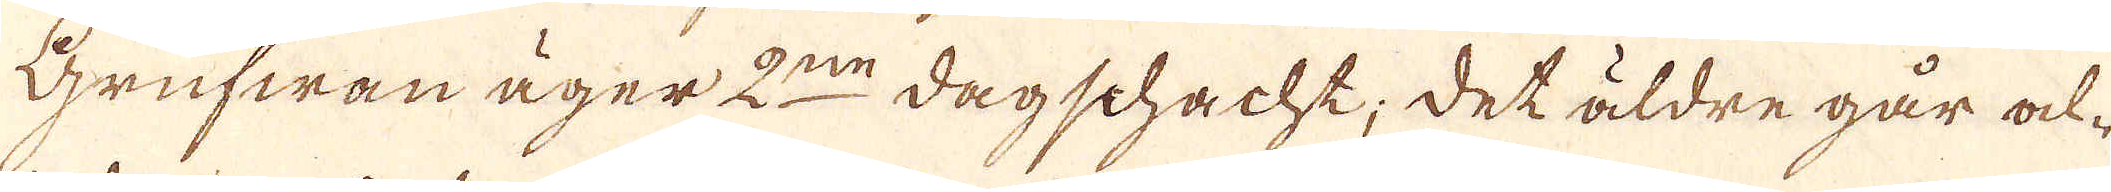Grufwan äger 2:ne dagschacht; det äldre går al-
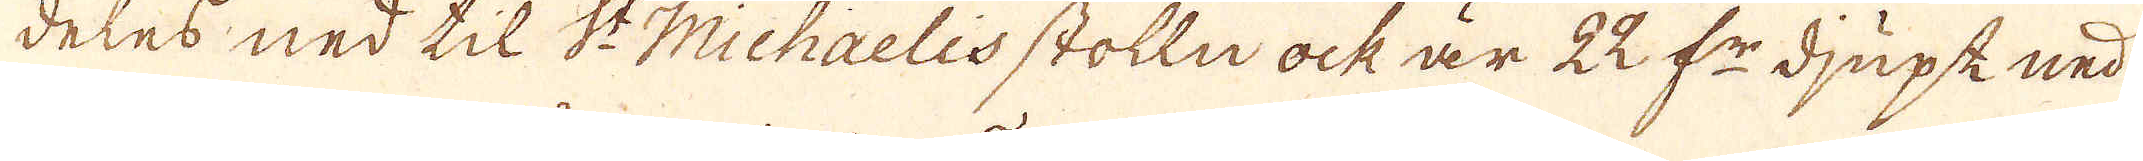deles ned til St Michaelis stolln ock är 22 f:r djupk ned
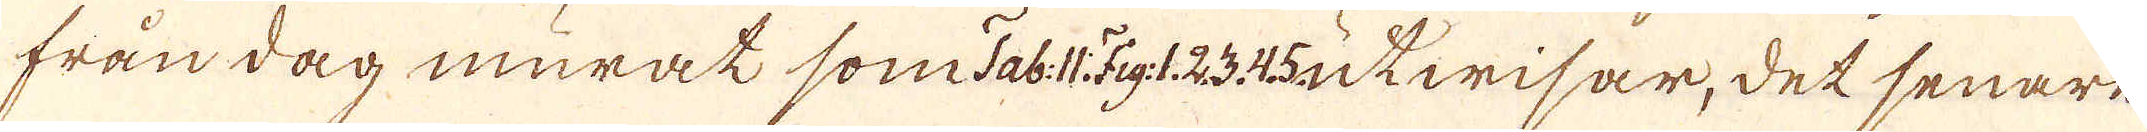från dag murat som Tab: 11.Fig:1.2.3.4.5. utwisar, det senare
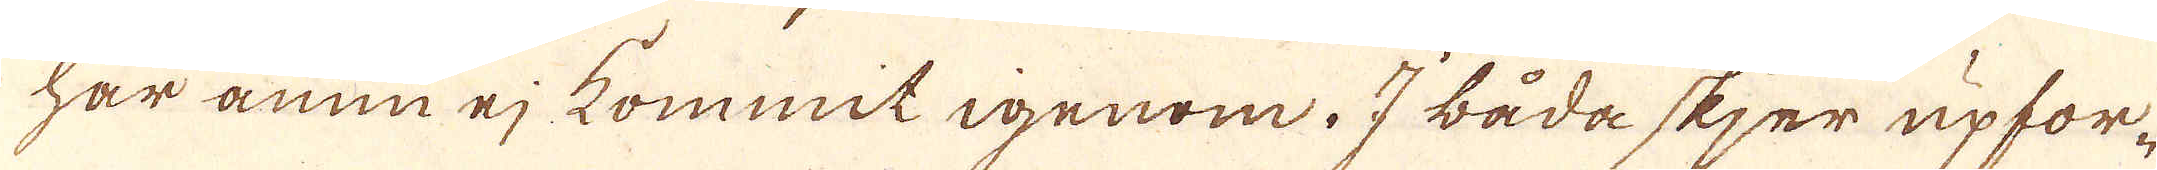har ännu ej kommit igenom. I båda skjer upfor-
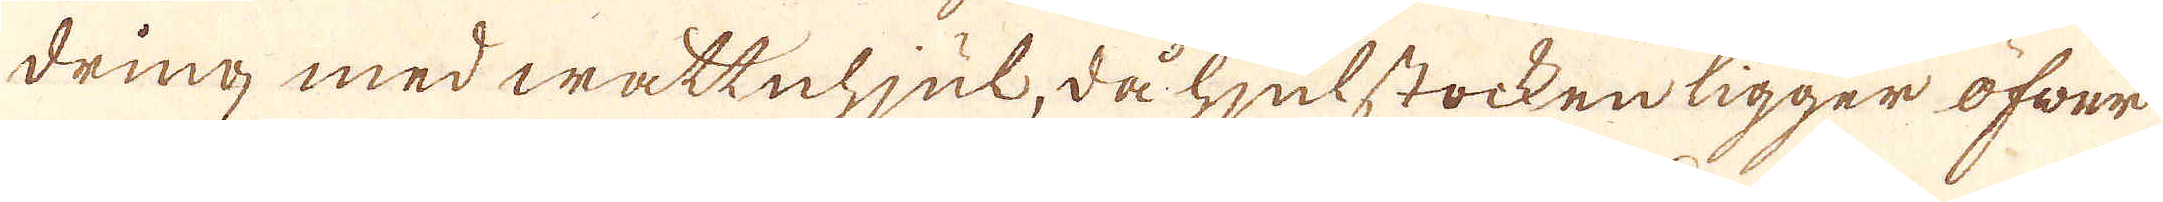dring med wattnhjul, då hjulstocken ligger öfwer
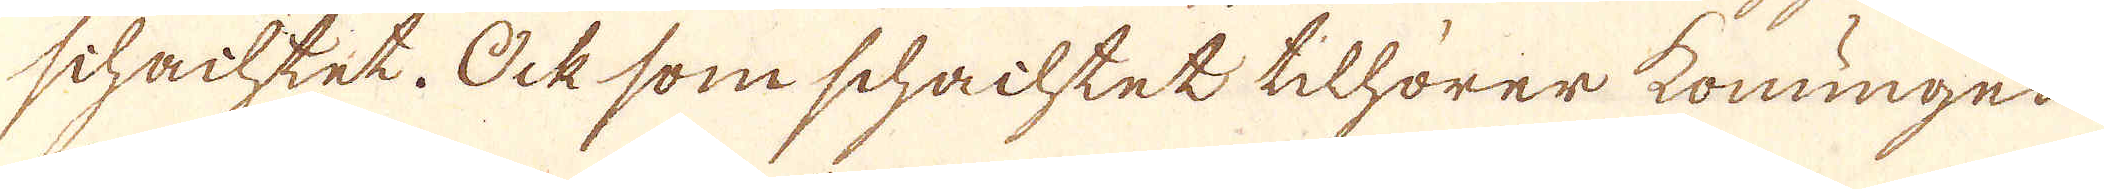schachtet. Ock som schachtet tilhörer konungen
